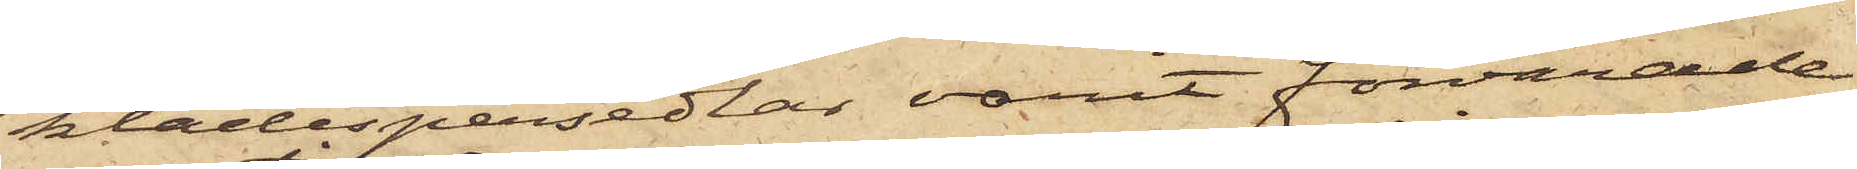klädespersedlar varit förvarade
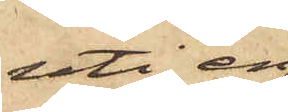uti en
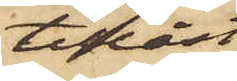tillåst
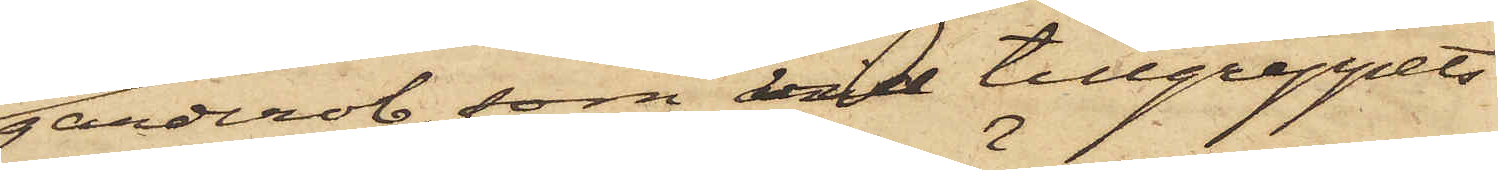garderob, som vid tillgreppets
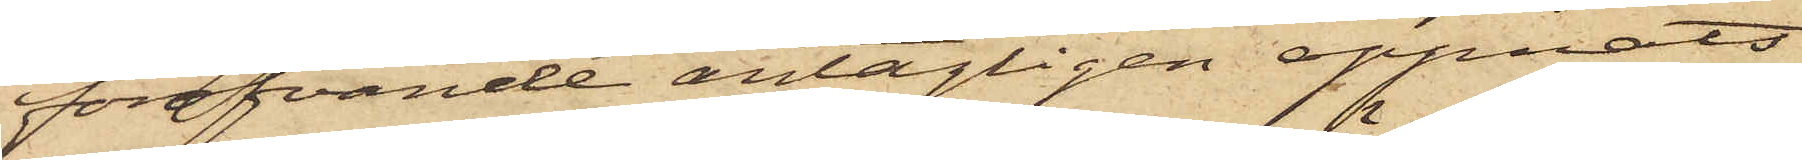föröfvande antagligen öppnats
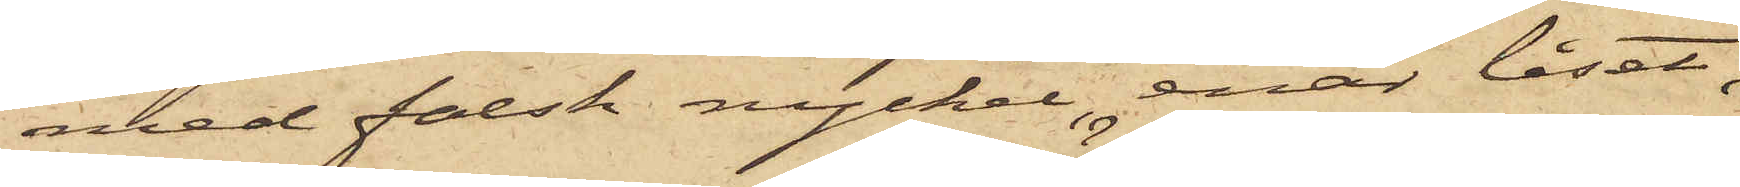med falsk nyckel, enär låset,
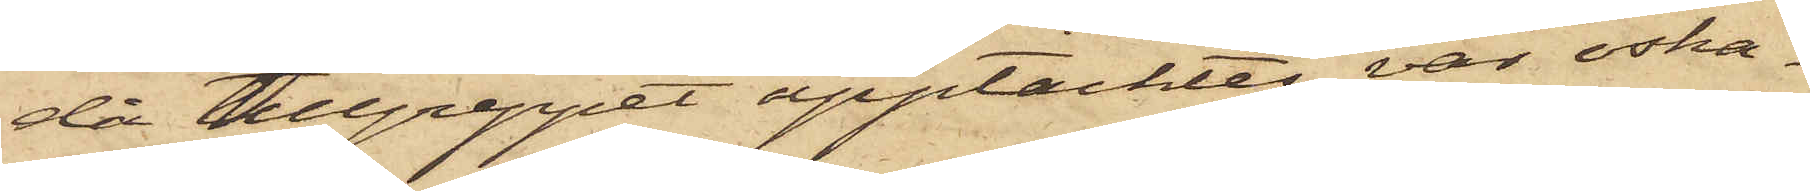då tillgreppet upptäcktes, var oska¬
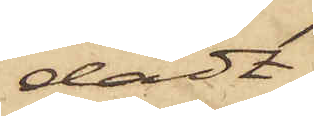dadt.
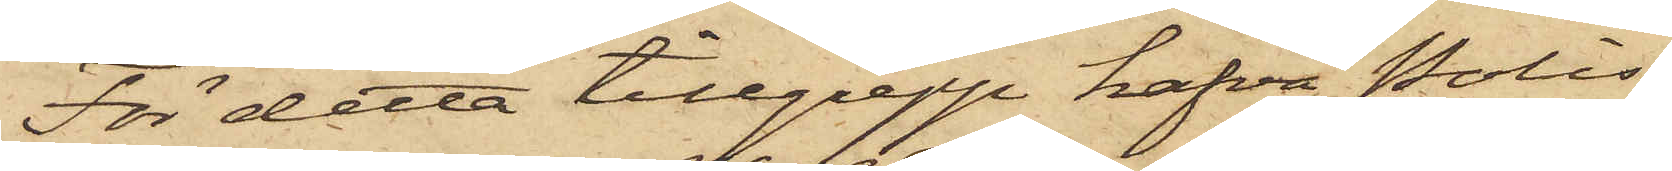För detta tillgrepp hafva Polis¬
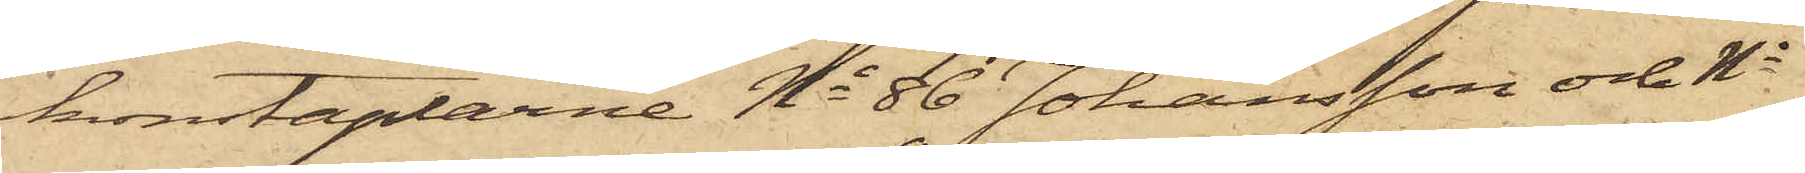konstaplarne No 86 Johansson och No
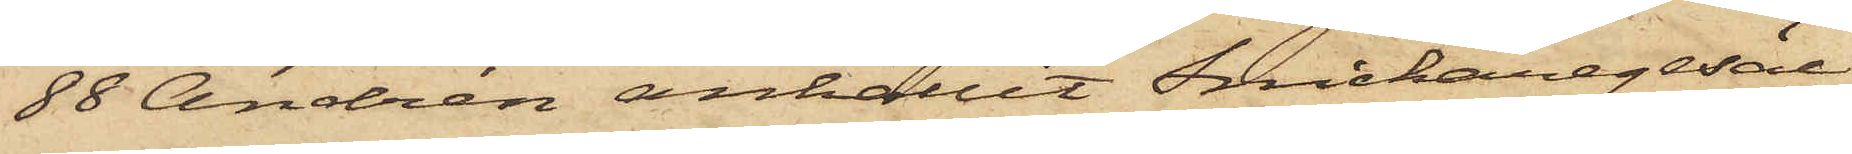88 Andrén anhållit Snickaregesäl¬
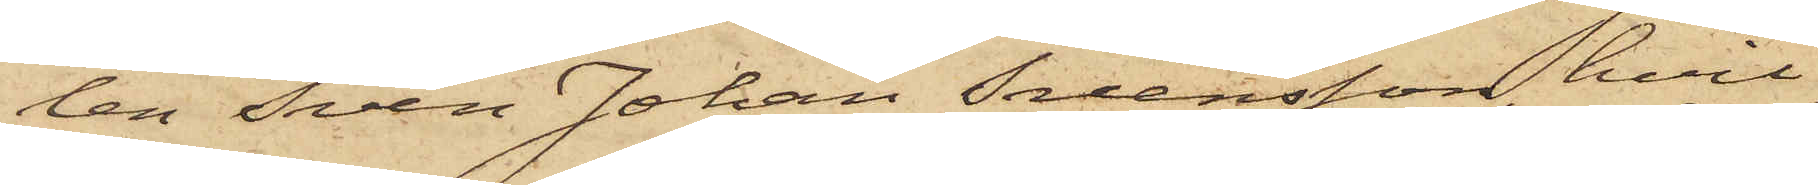len Sven Johan Svensson, hvil¬
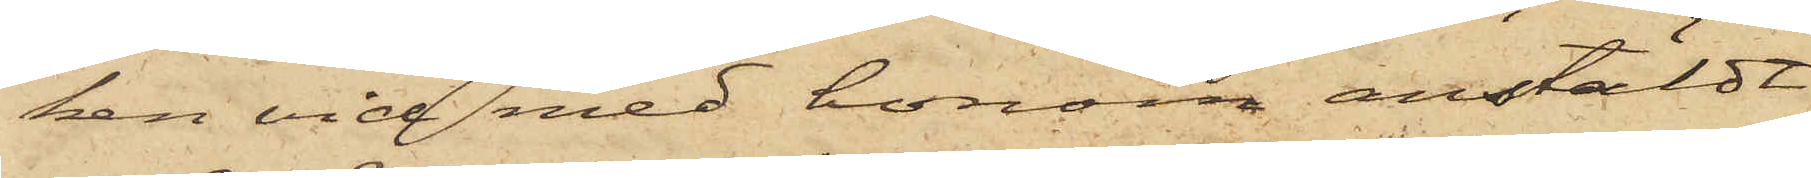ken vid med honom anstäldt
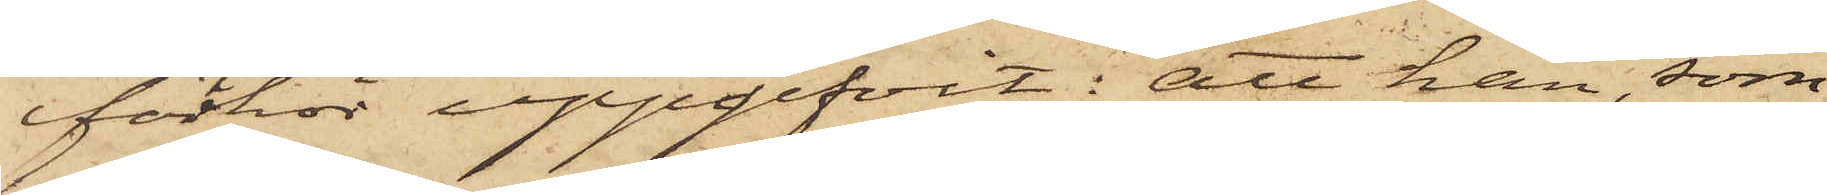förhör uppgifvit: att han, som
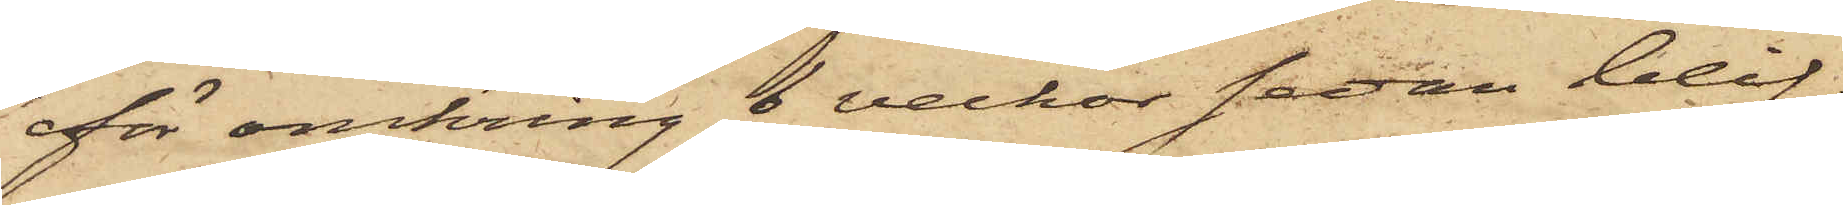för omkring 6 veckor sedan blif¬
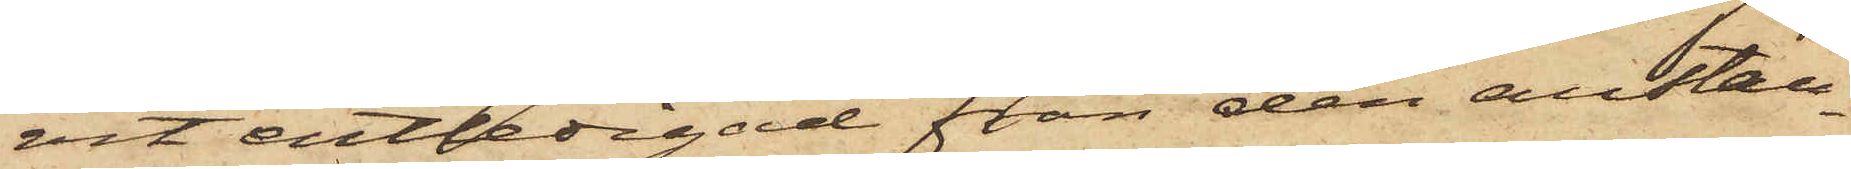vit entledigad från den anstäl¬
